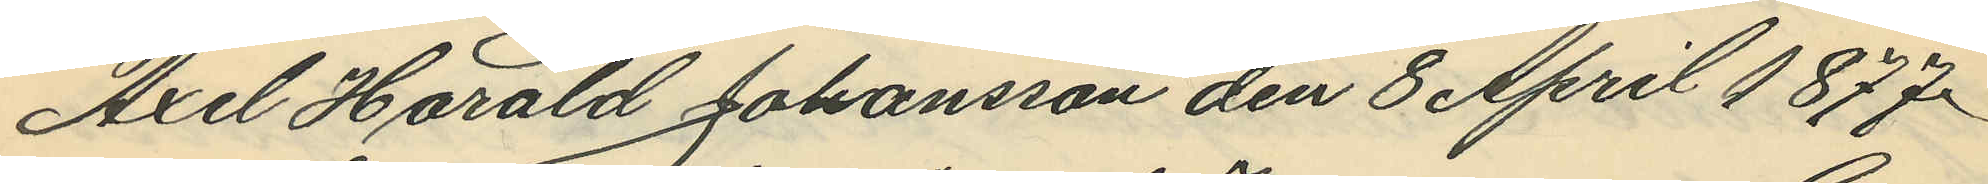Axel Harald Johansson den 8 April 1877.
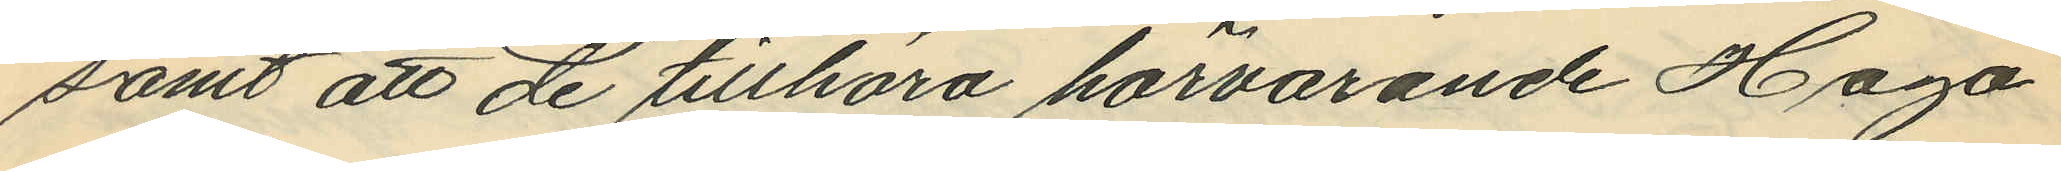samt att de tillhöra härvarande Haga
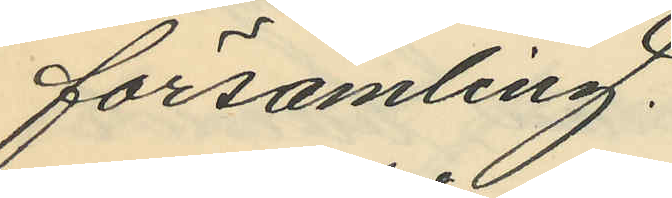församling.
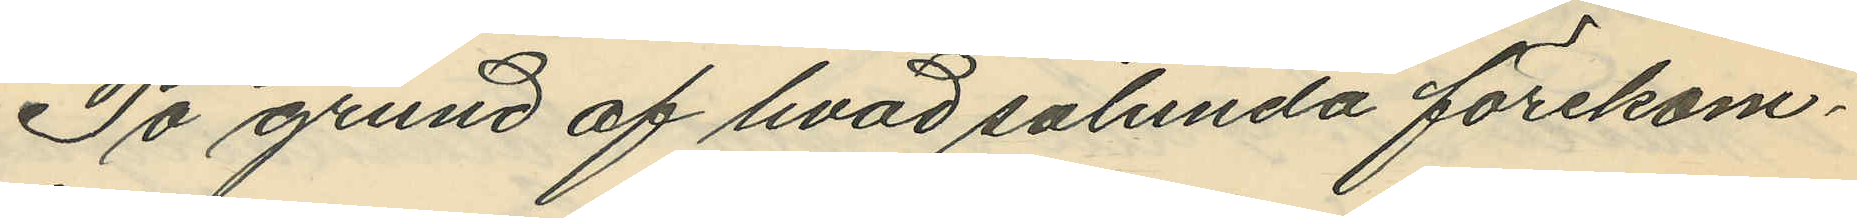På grund af hvad sålunda förekom¬
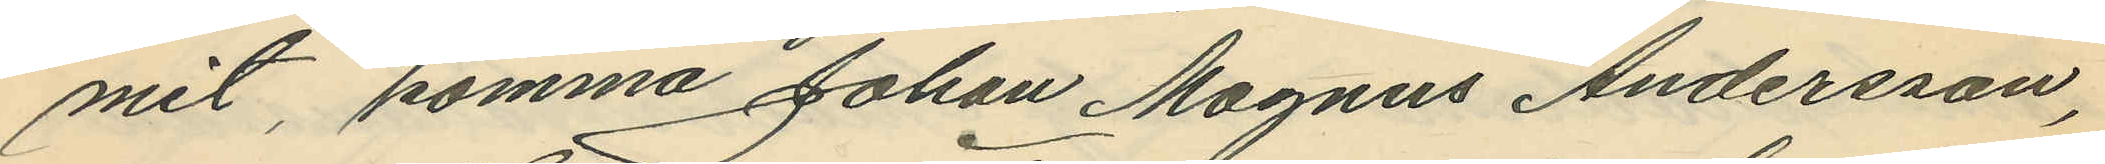mit, komma Johan Magnus Andersson,
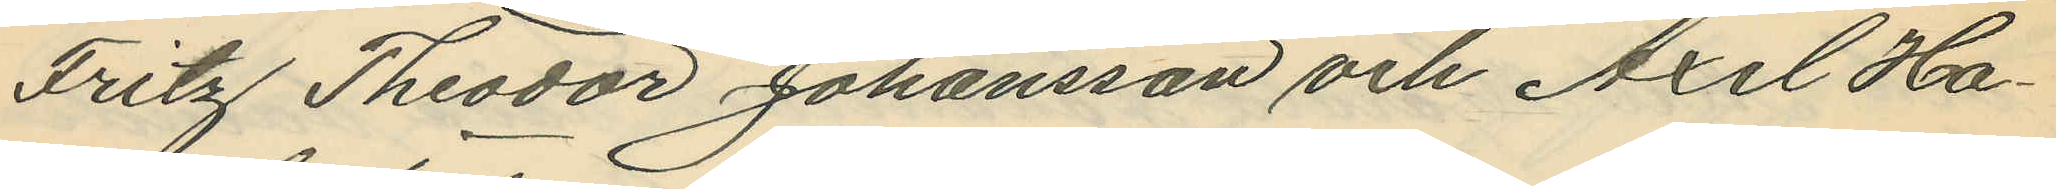Fritz Theodor Johansson och Axel Ha¬
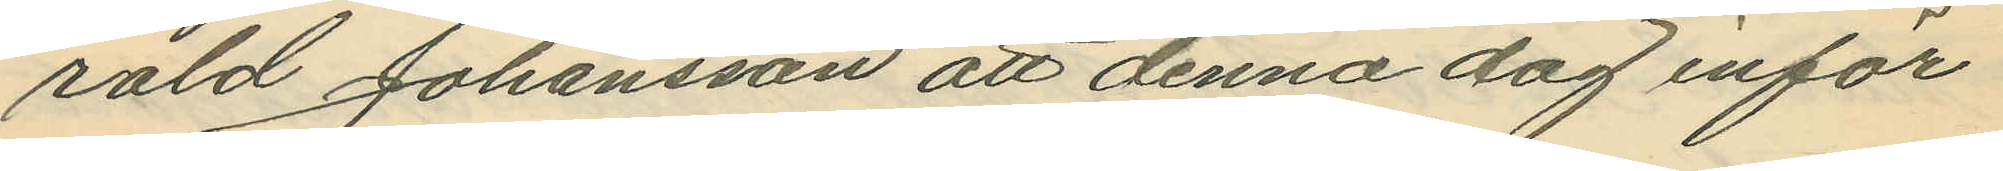rald Johansson att denna dag inför
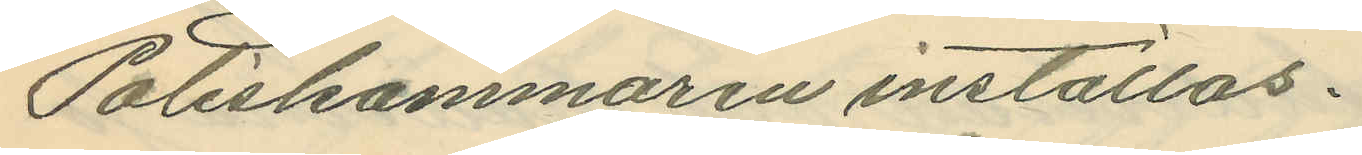Poliskammaren inställas.
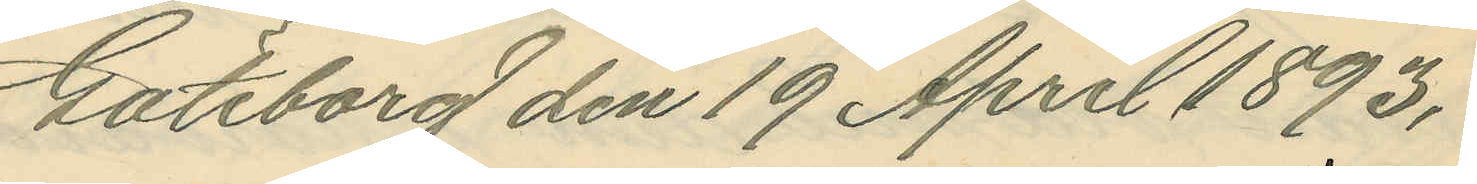Göteborg den 19 April 1893.
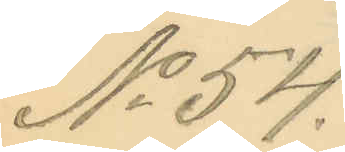No 54.
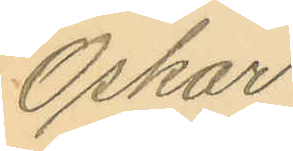Oskar
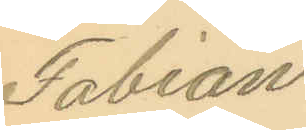Fabian
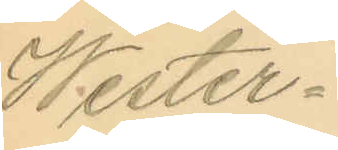Wester¬
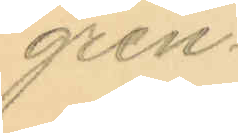gren.
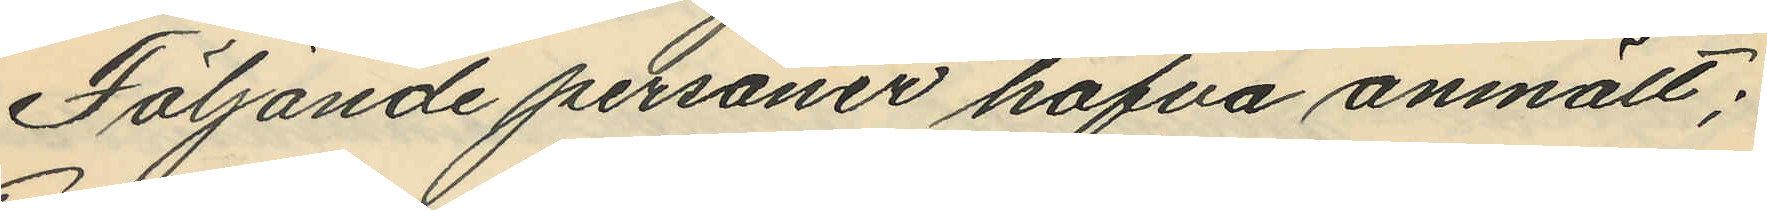Följande personer hafva anmält;
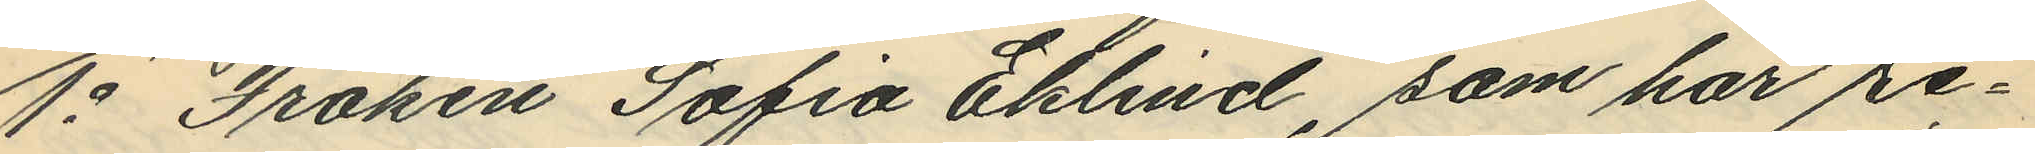1o Fröken Sofia Eklind, som har re¬
